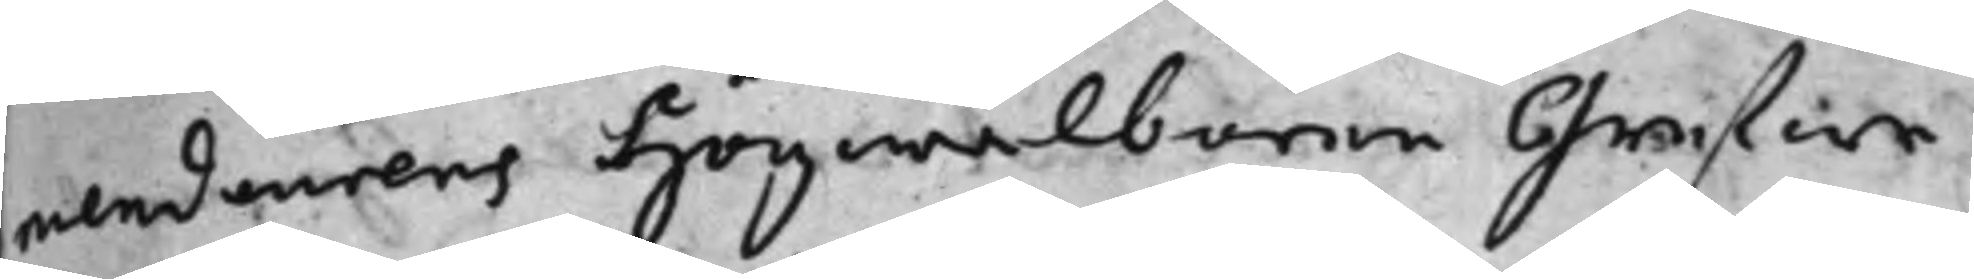mendeurens högwälborne grefwe
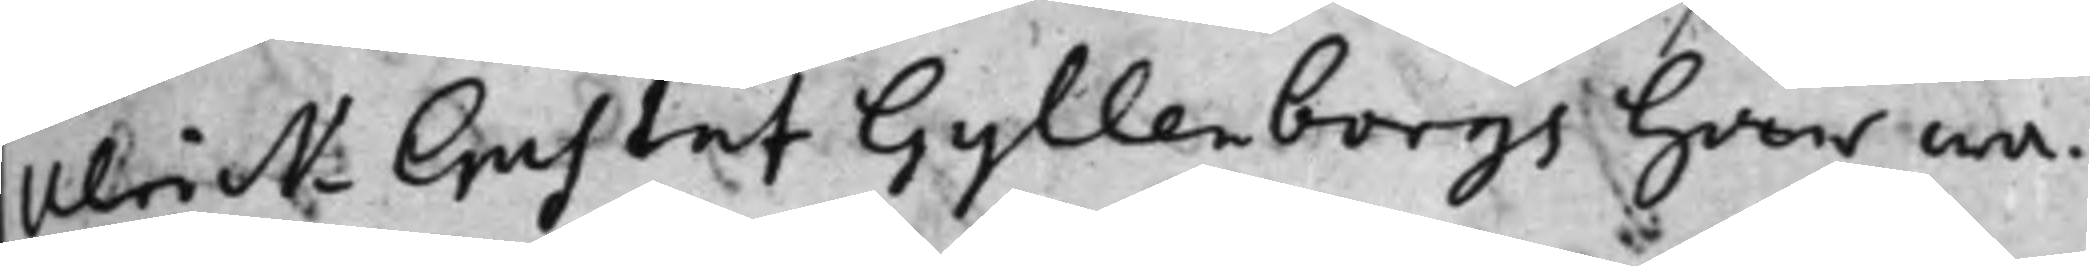Ulrick Gustaf Gyllenborgs här wa¬
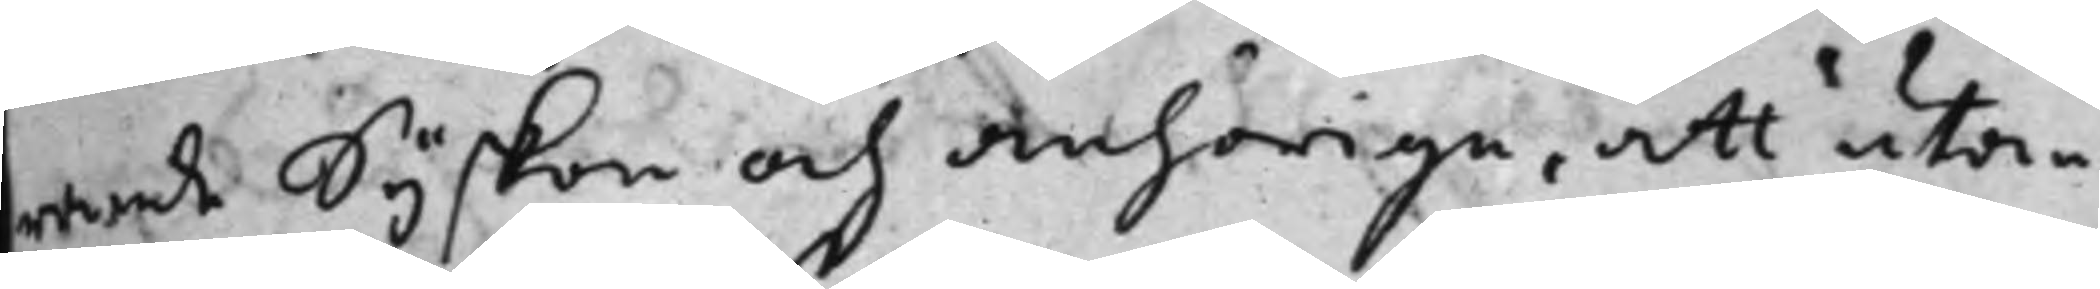rande syskon och anhörige, att utan
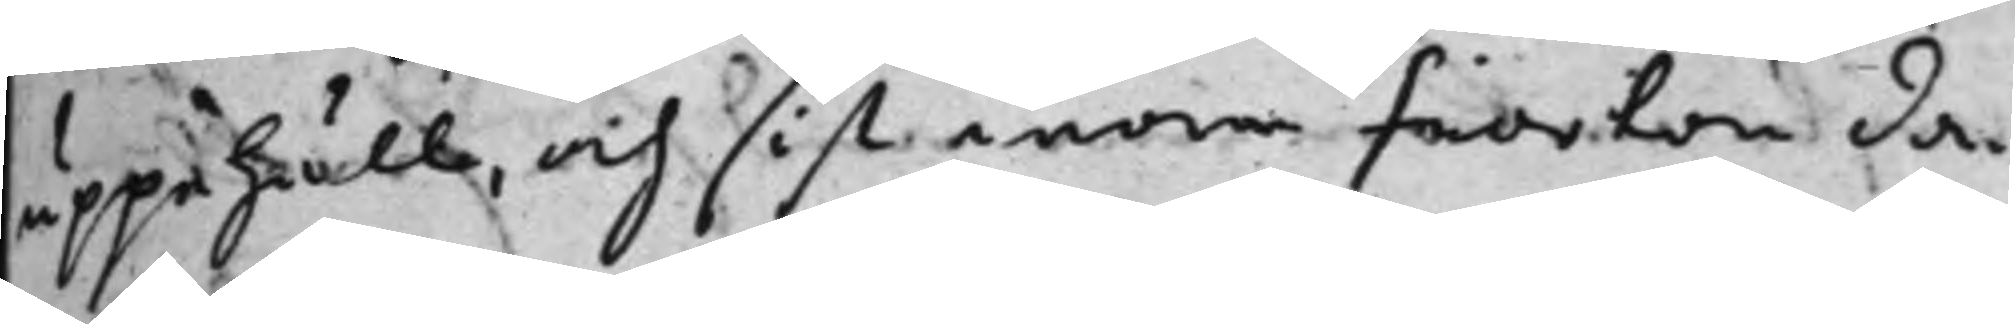uppehåll, och sist inom fiorton da¬
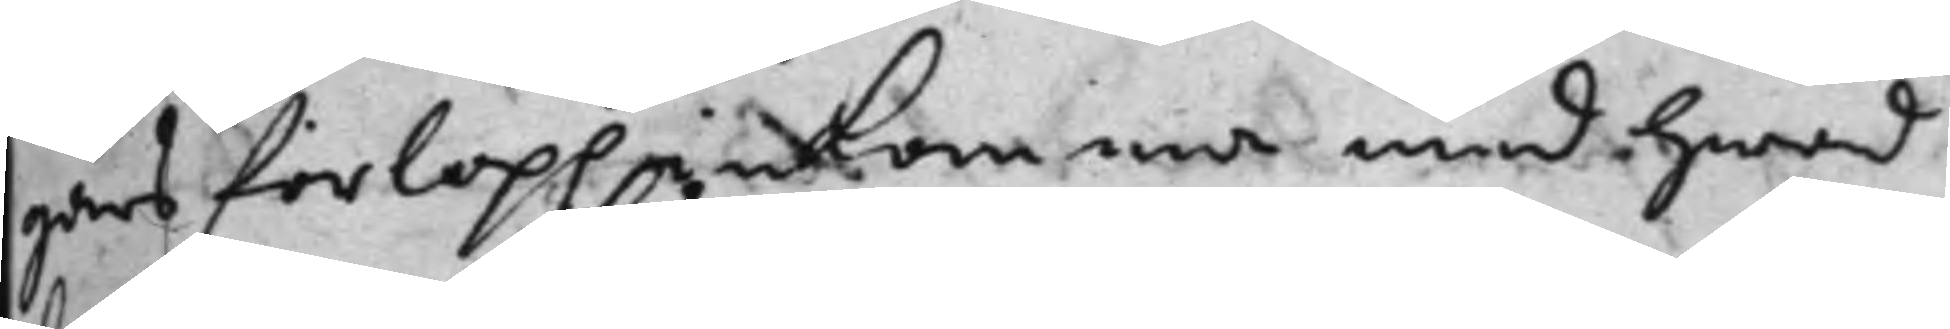gars förlopp inkomma med hwad
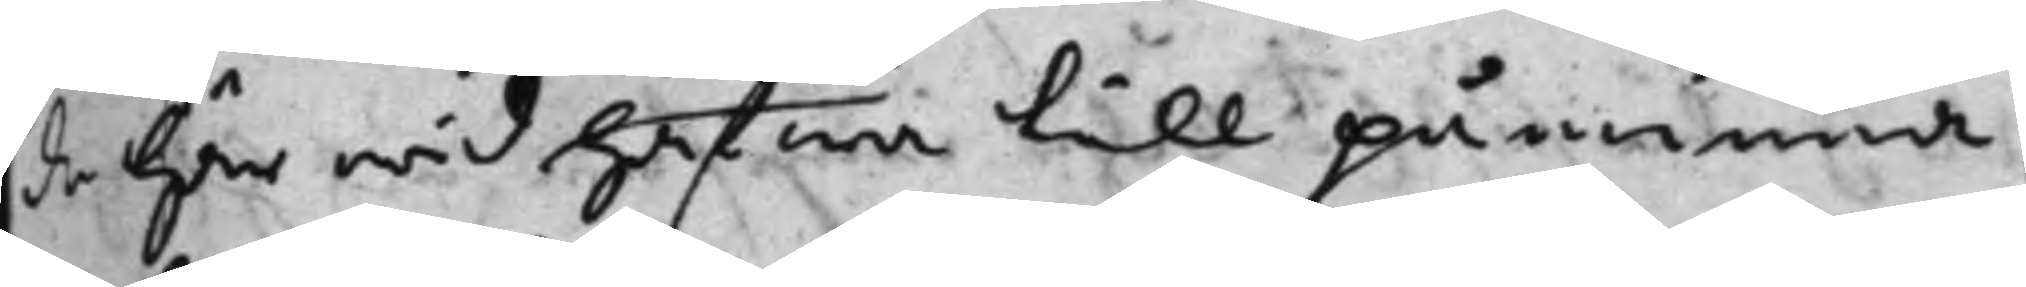de här wid hafwa till påminna,
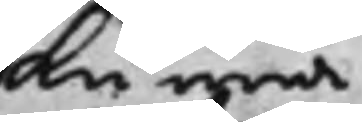kunna
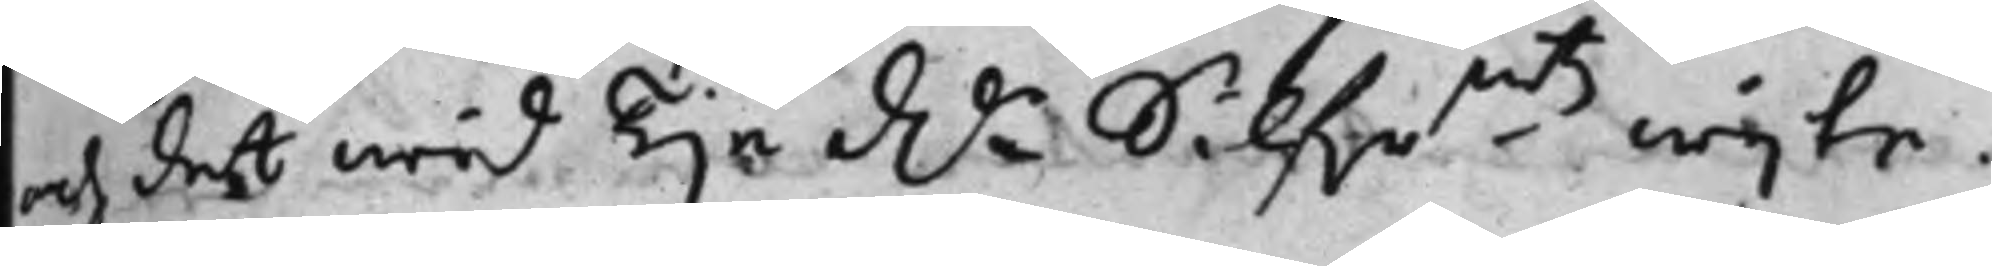och det wid Tije Dr Silfrmts wijte.
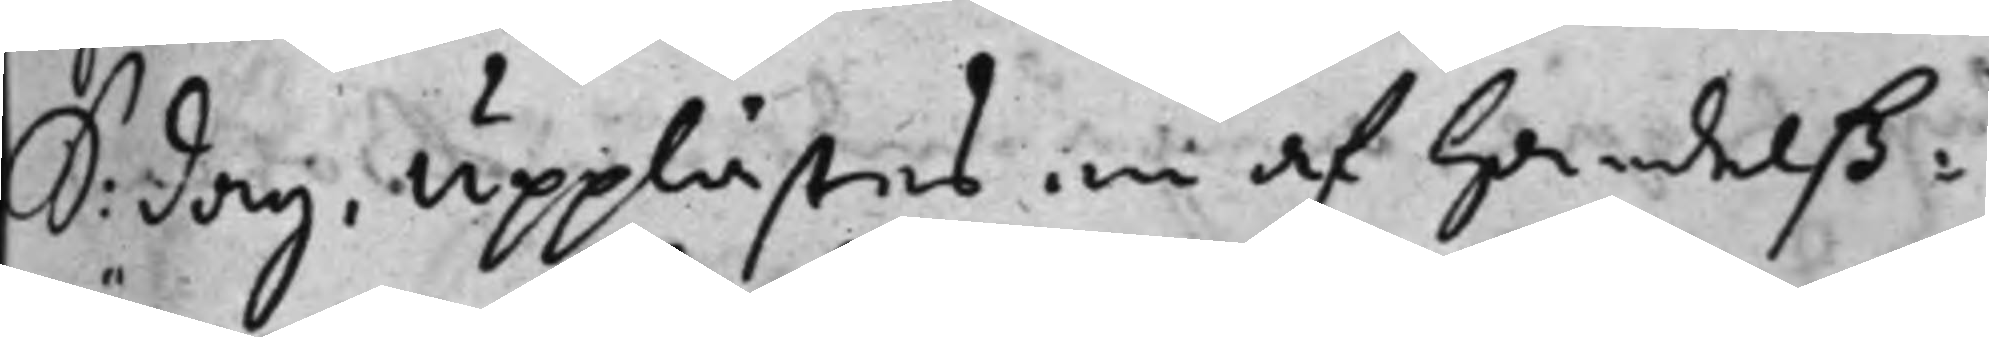S: dag, upplästes en af handelß¬
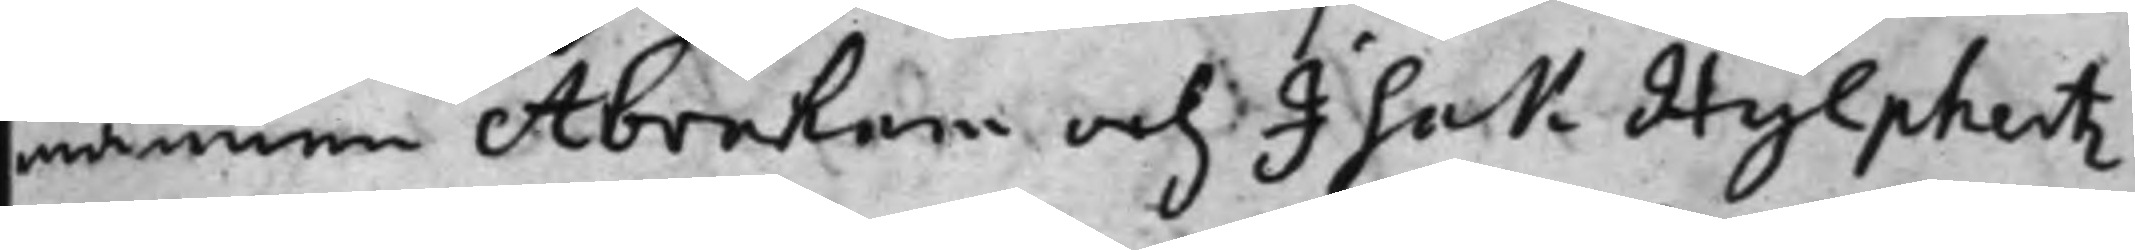männen Abraham och Isak Hylphertz
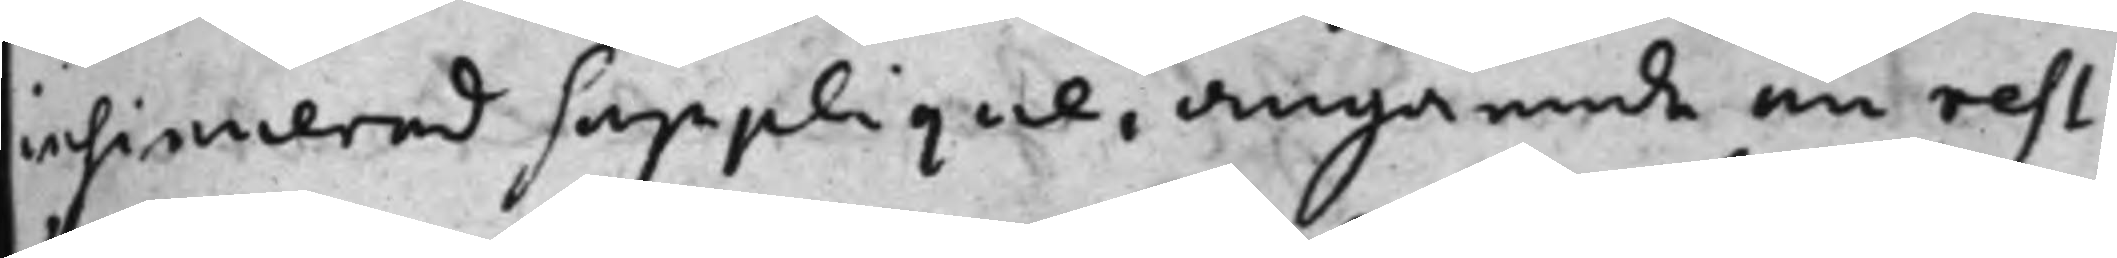insinnerad supplique, angående en rest
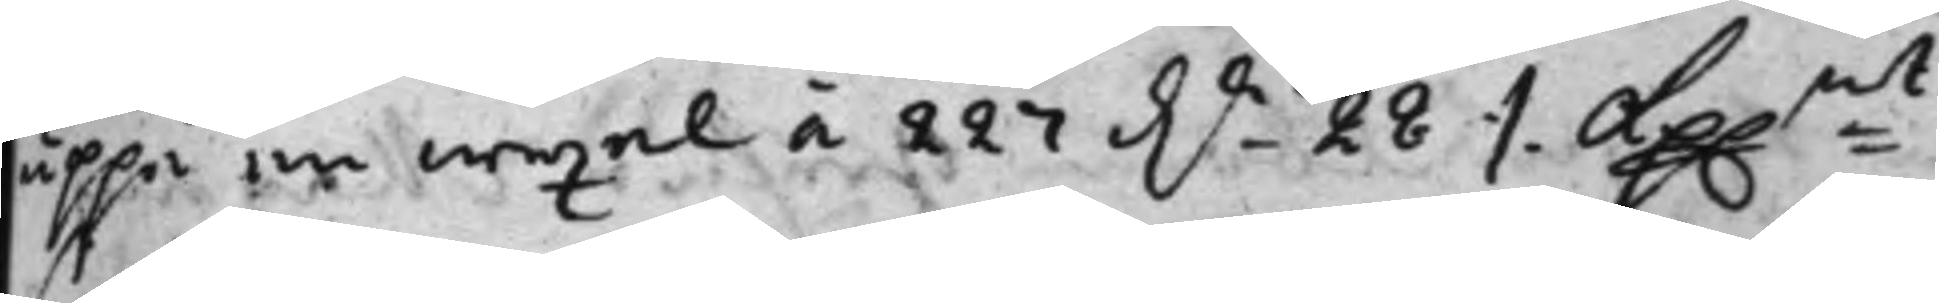uppå en wexel à 227 Dr - 28 ./. Kp.mt
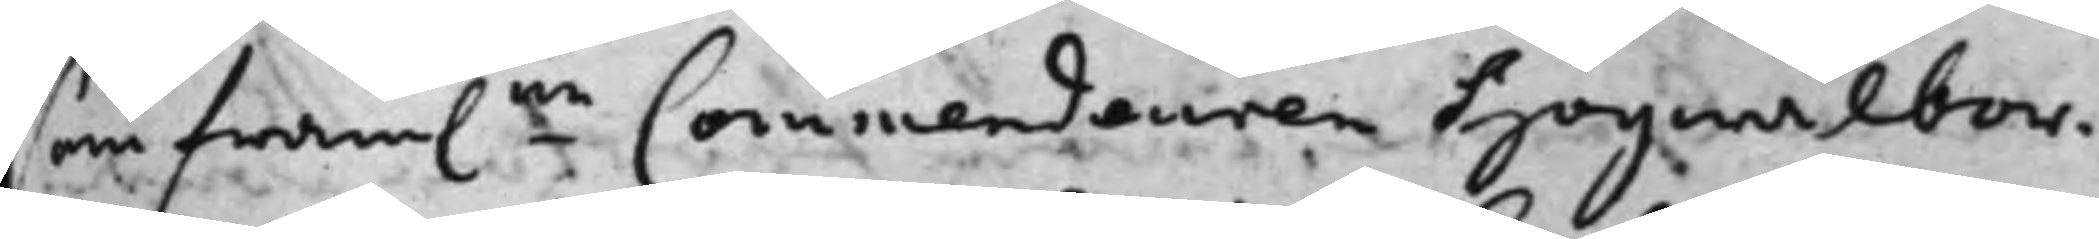som fram.ne Commendeuren högwälbor¬
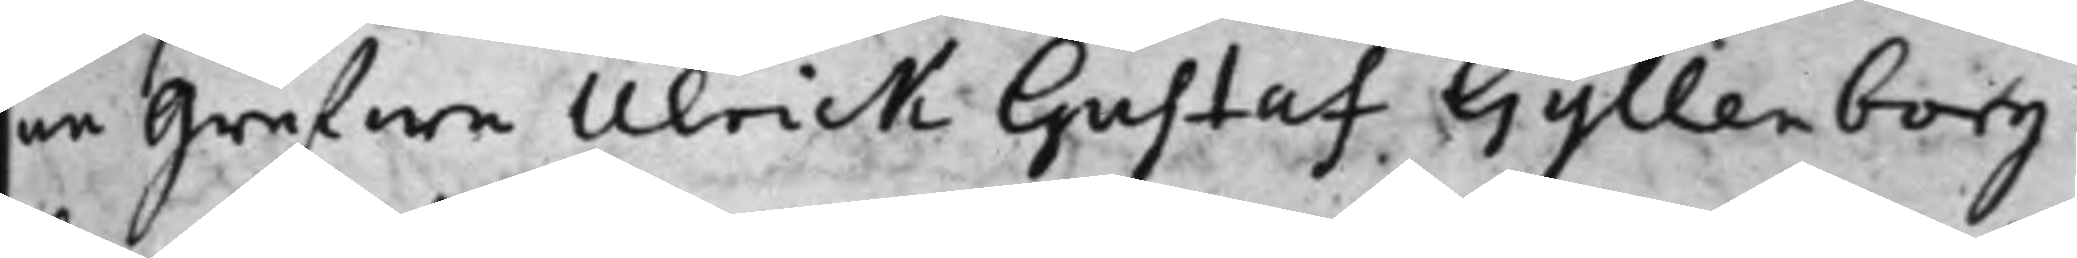ne grefwe Ulrick Gustaf Gyllenborg
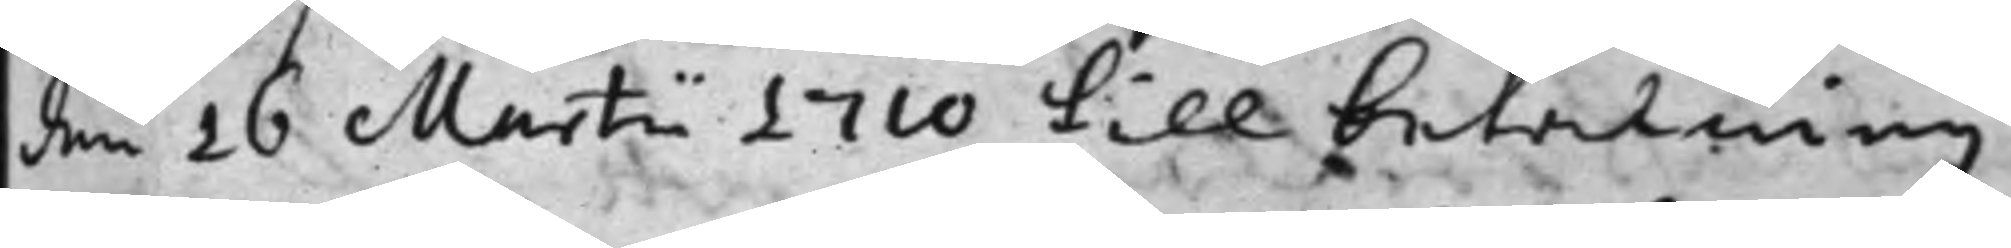den 26 Martii 1710 till betalning
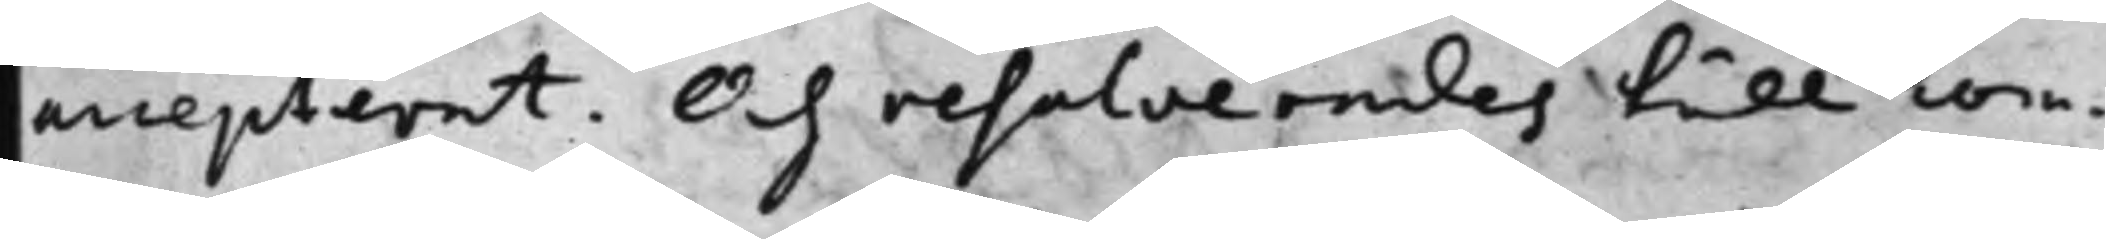accepterat. Och resolverades till com¬
